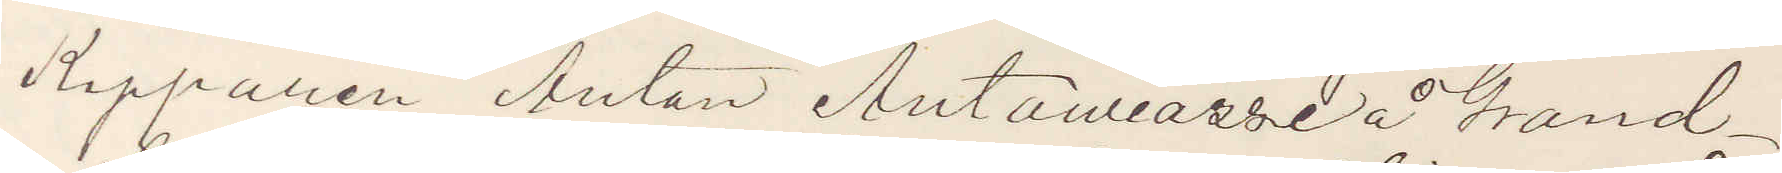Kapparen Anton Antoniassi å Grand
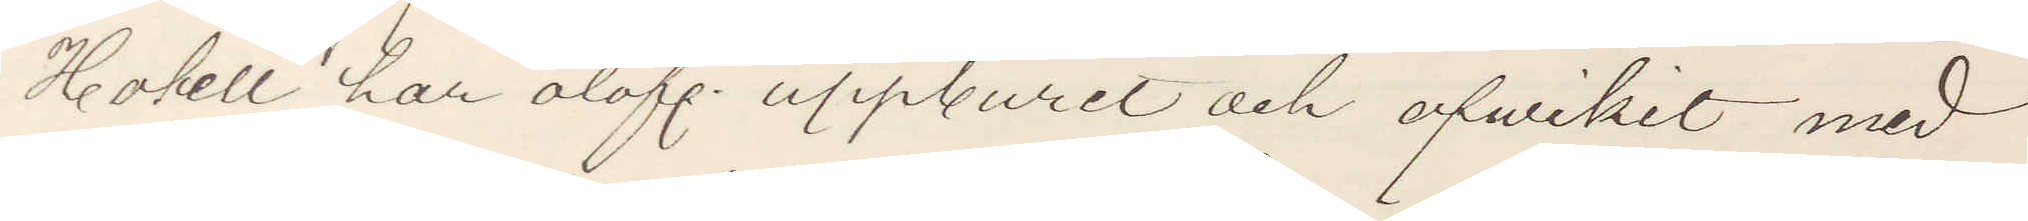Hotell har olofl. uppburit och afwikit med
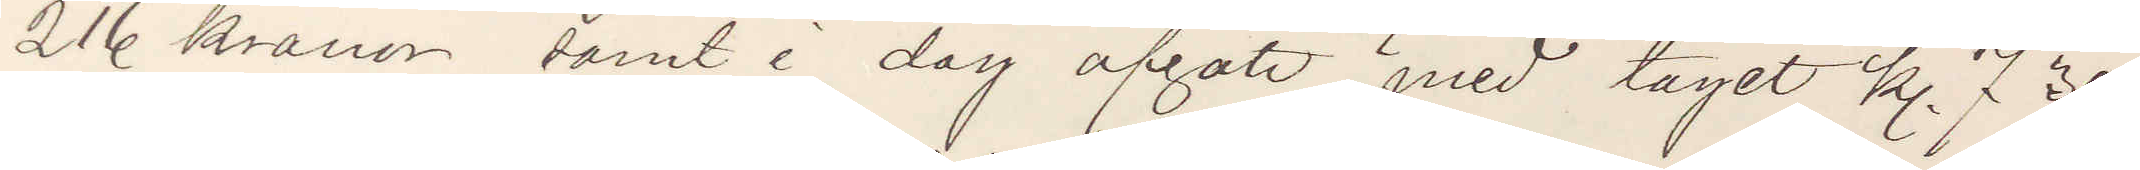216 kronor samt i dag afgått med tåget kl. 7 30.
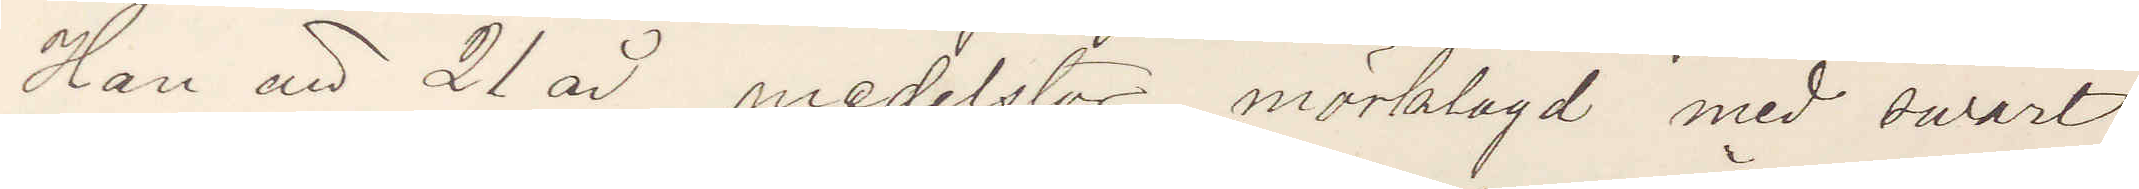Han är 21 år medelstor mörklagd med swart
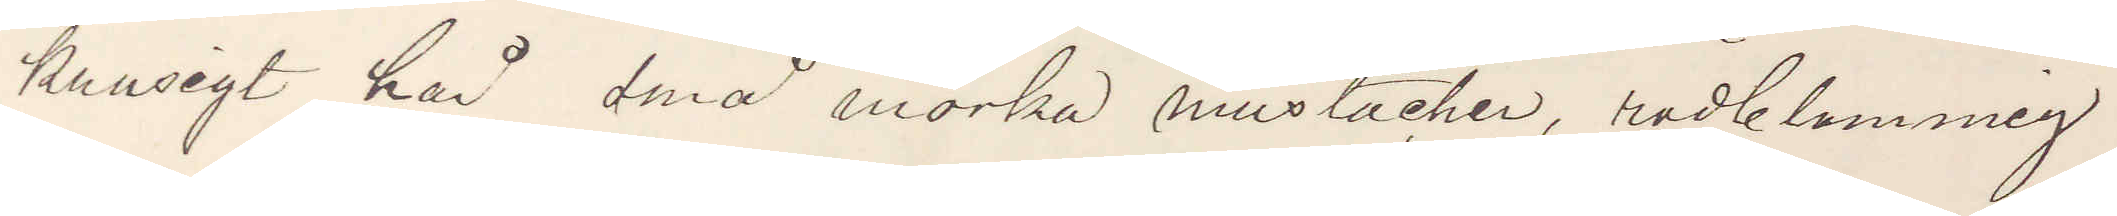krusigt hår små mörka mustacher, rödblommig
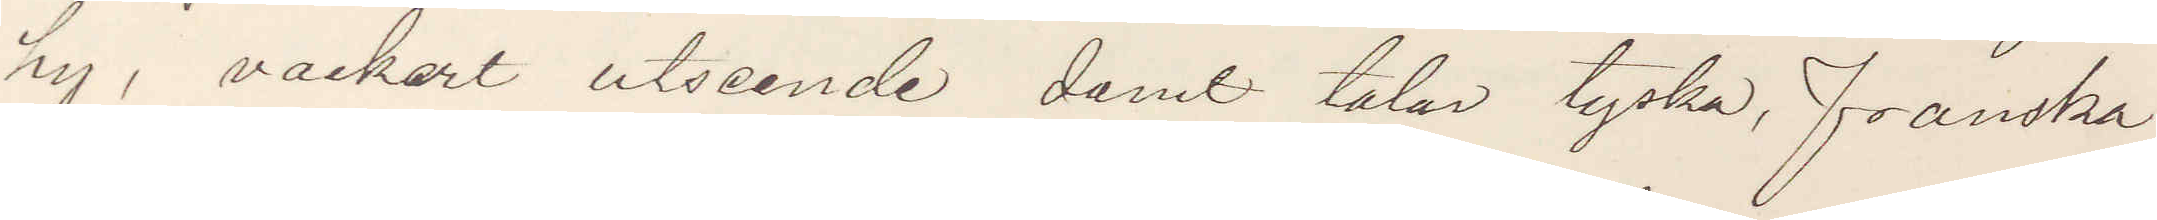hy, vackert utseende samt talar tyska, franska
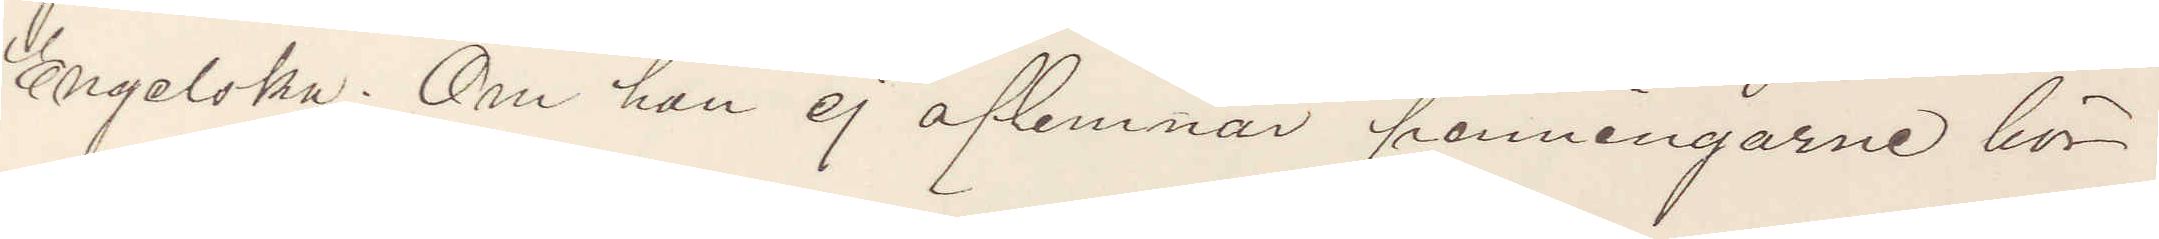Engelska; Om han ej aflemnar penningarne bör
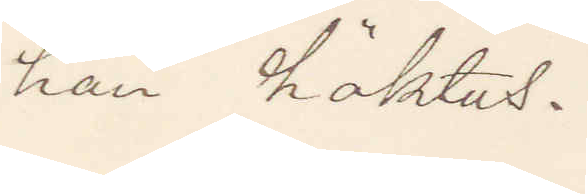han häktas.
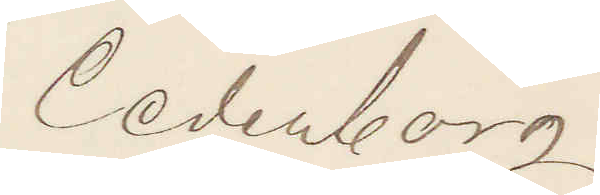Cederborg
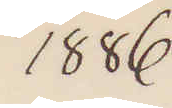1886.
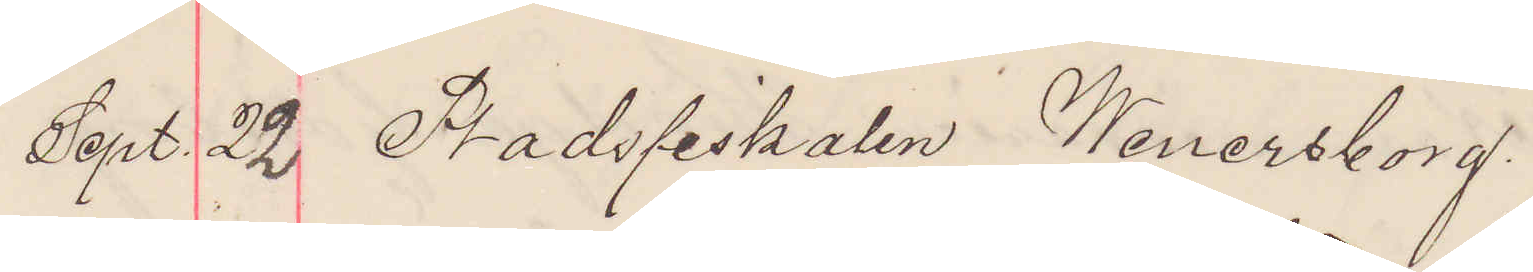Sept. 22 Stadsfiskalen Wenersborg.
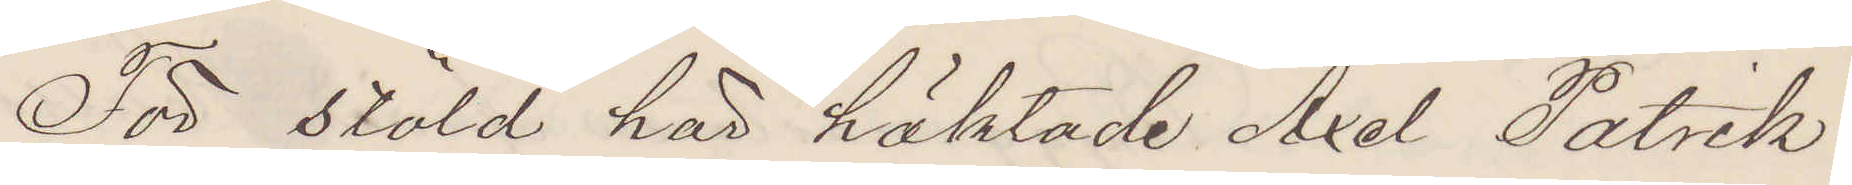För stöld här häktade Axel Patrik
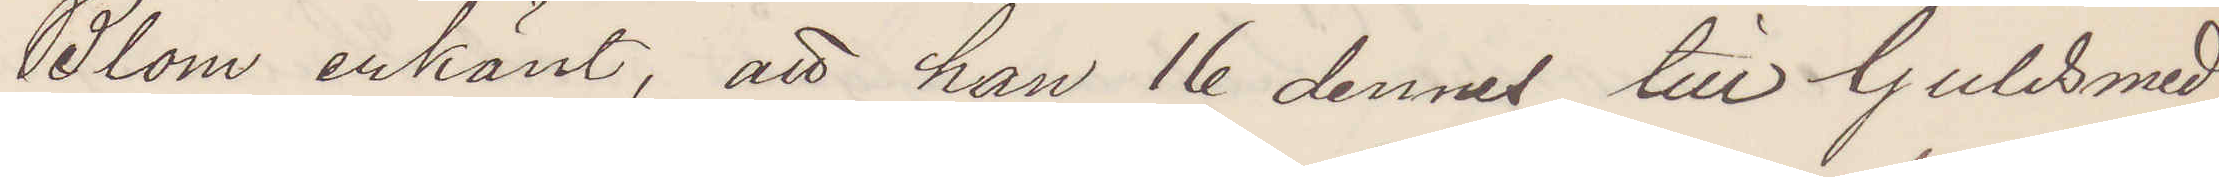Blom erkänt, att han 16 dennes till Guldsmed
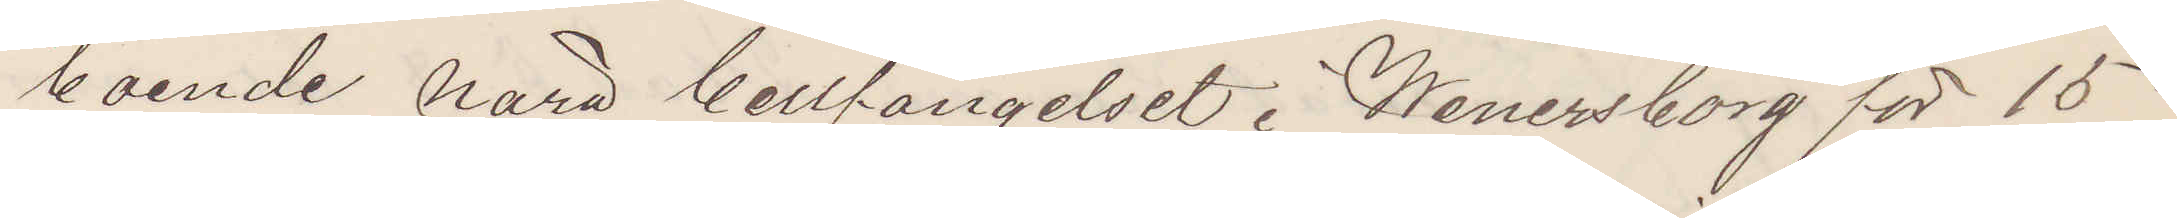boende nära Cellfängelset i Wenersborg för 15
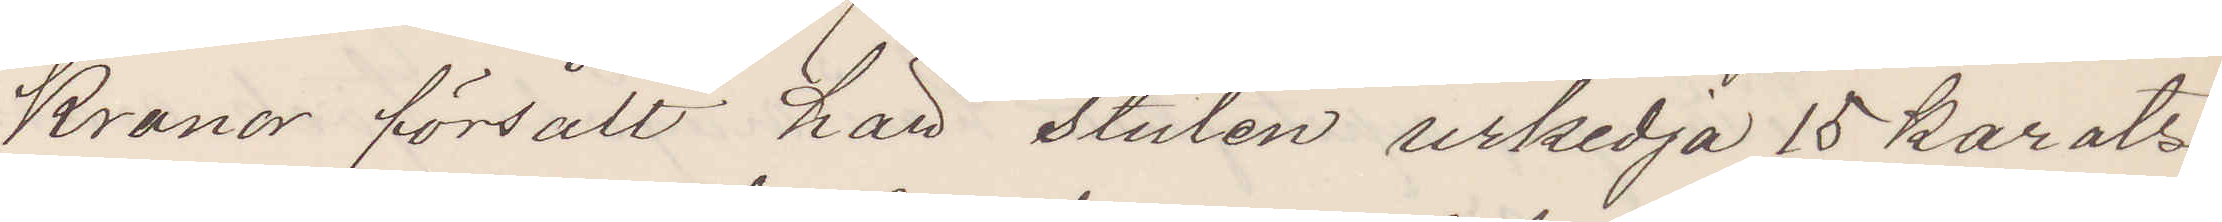Kronor försålt här stulen urkedja 15 karats
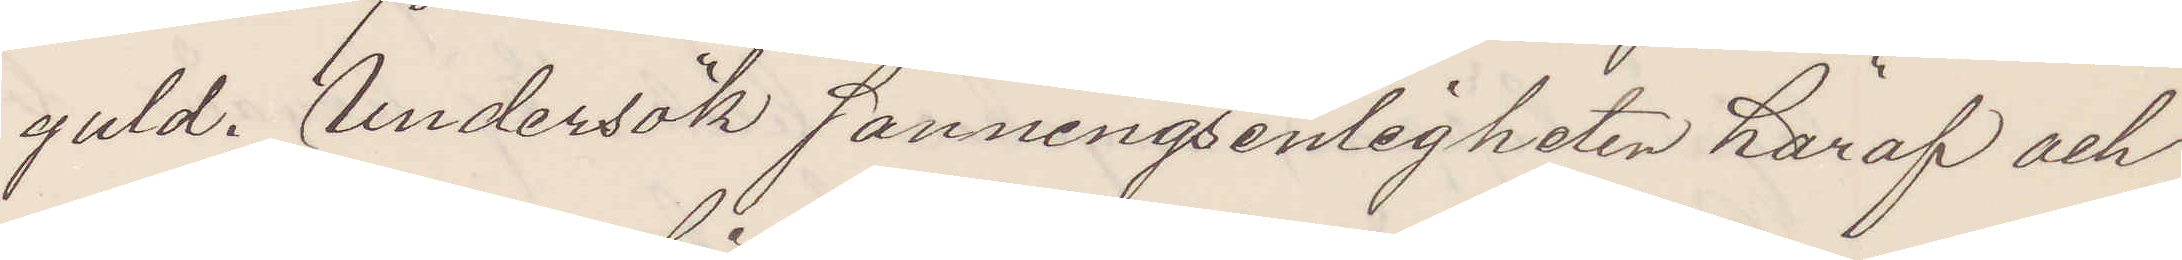guld. Undersök sanningsenligheten häraf och
